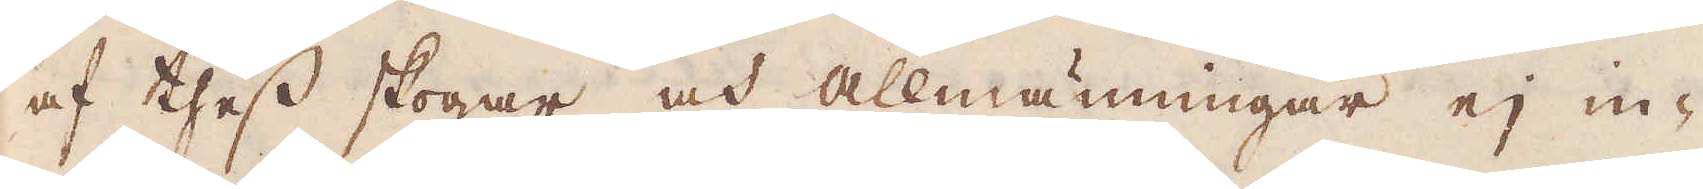af thess skogar och allmänningar ej in-
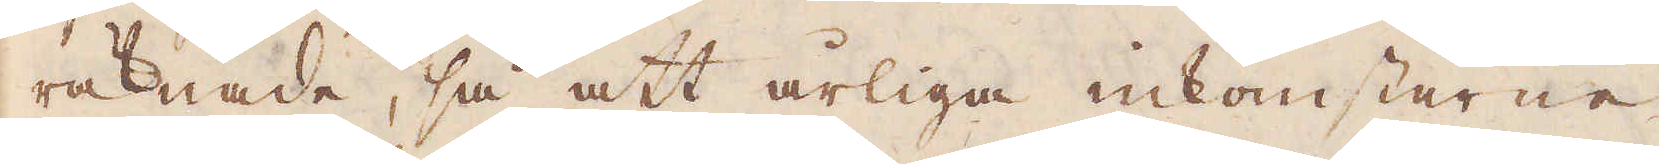räknade, så att årliga inkomsterne
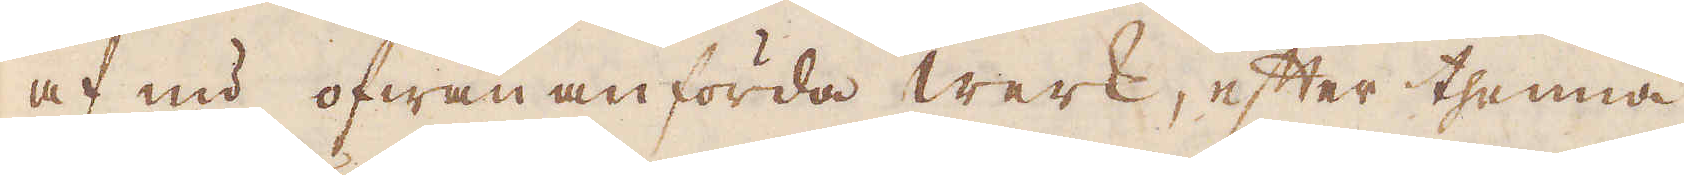af nu ofwan anförda werk, efter thenna
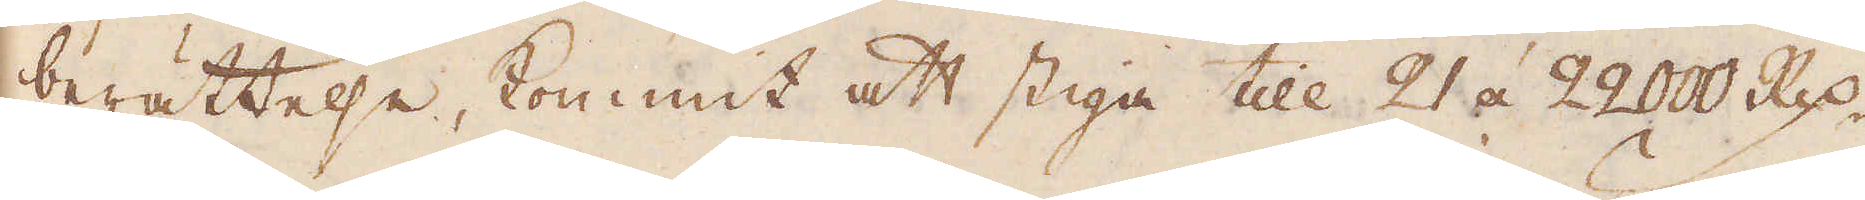berättelse, kommit att stiga till 21 á 22000 R:dr.
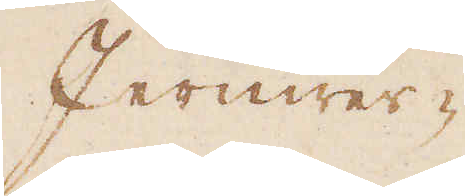Jernwer-
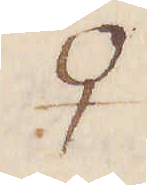♀
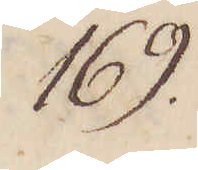169.
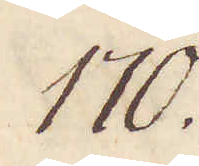170.
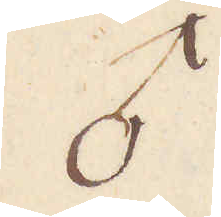♂
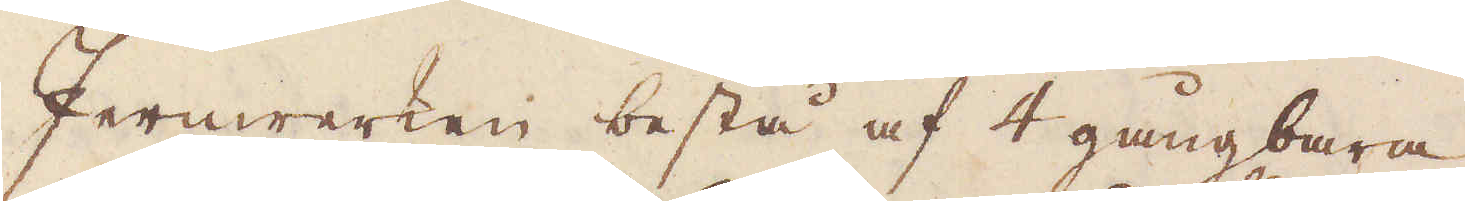Jernwerken bestå af 4 gångbara
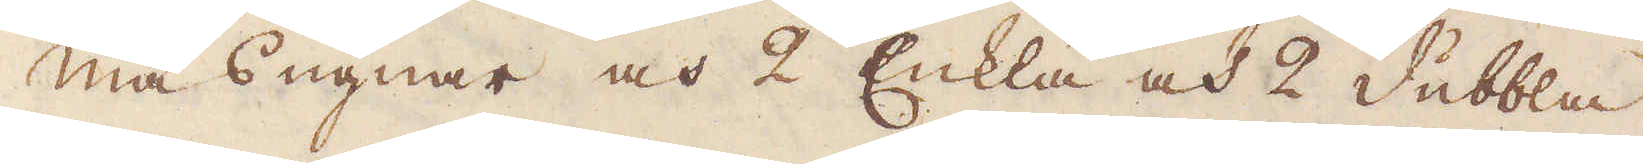masugnar och 2 Enkla och 2 dubbla
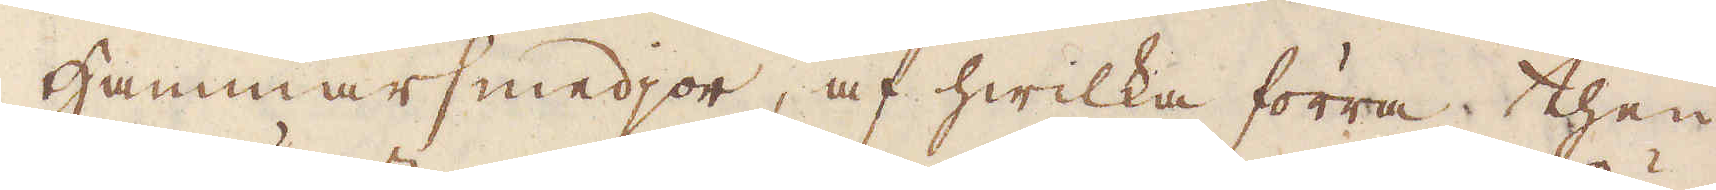Hammarsmedjor, af hwilka förra then
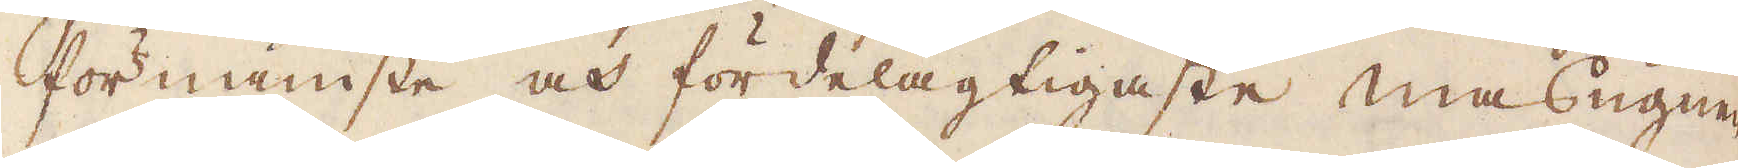förnämste och fördelagtigaste masugnen
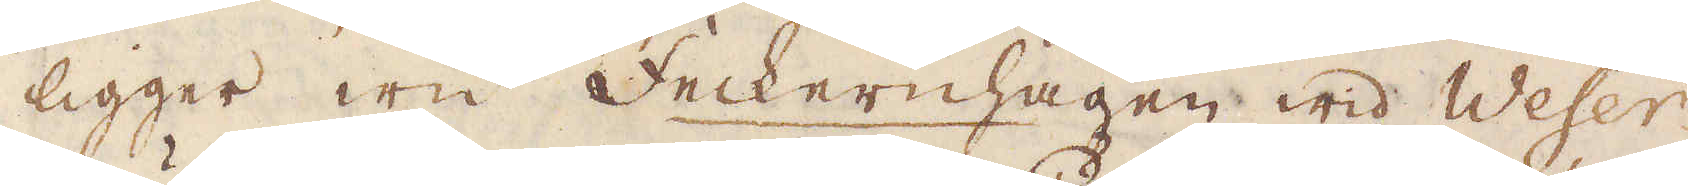ligger wid Feckernhagen wid Weser-
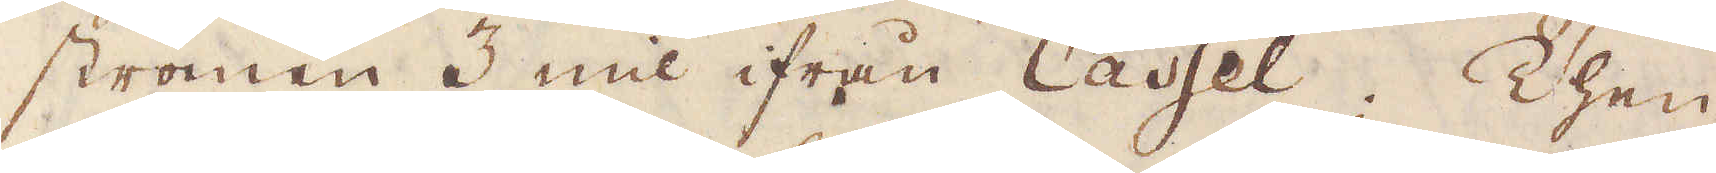strömen 3 mil ifrån Cassel; Then
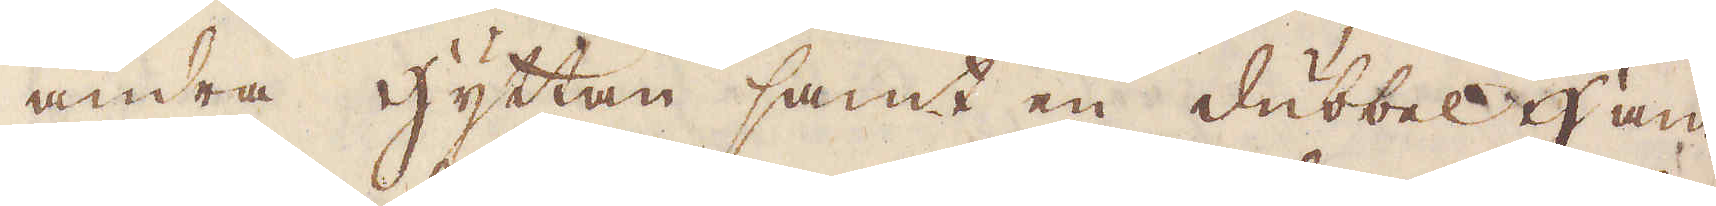andra hyttan samt en dubbel Ham-
